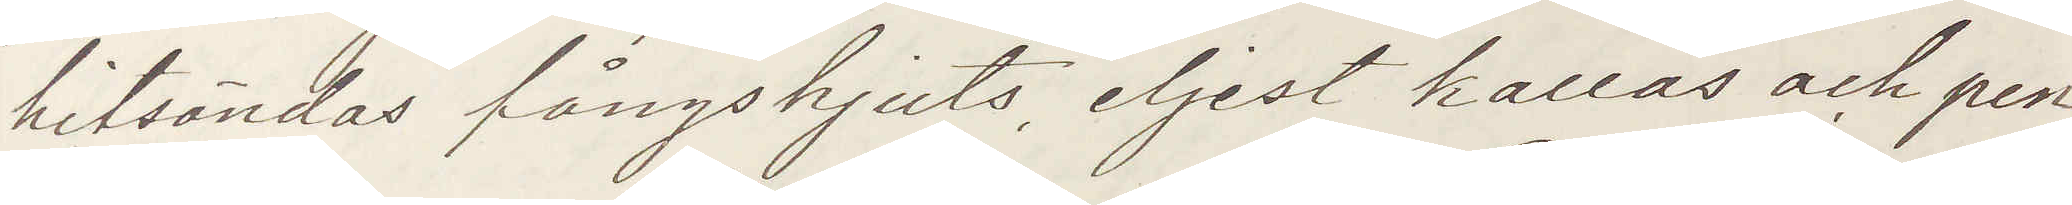hitsändas fångskjuts, eljest kallas och pen¬
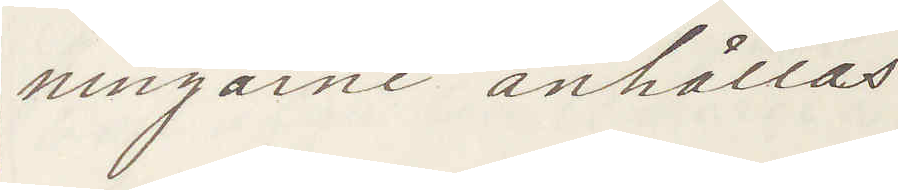ningarne anhålles.
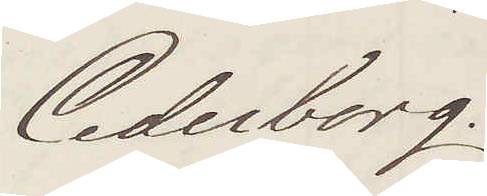Cederborg.
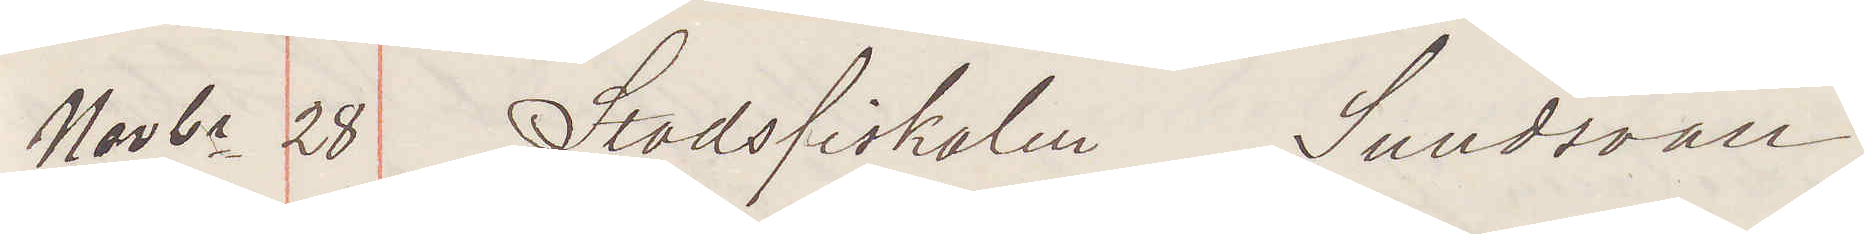Novbr 28 Stadsfiskalen Sundsvall
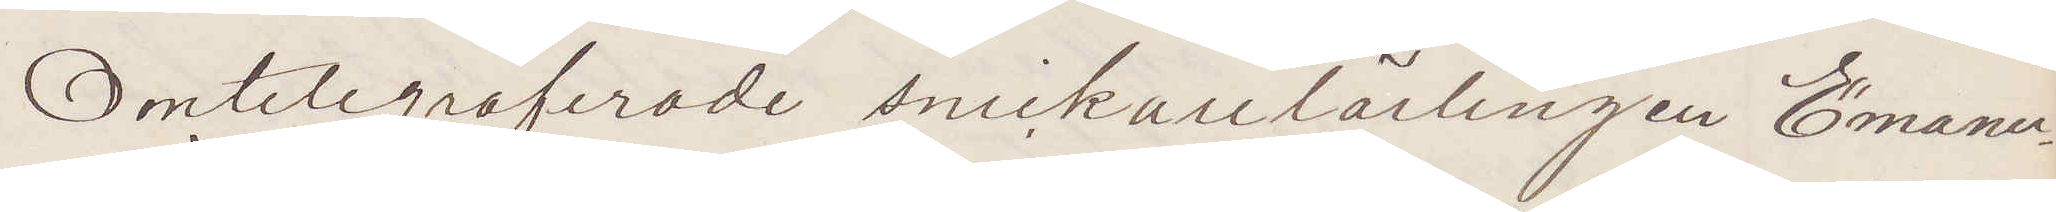Omtelegraferade snickarelärlingen Emanu¬
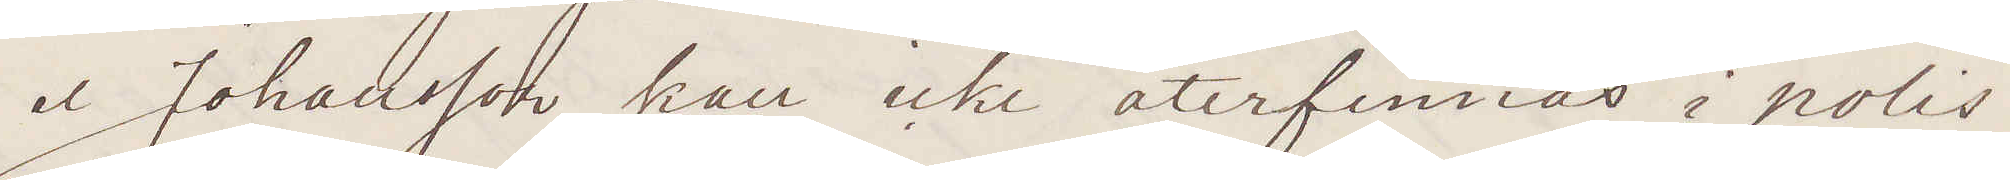el Johansson kan icke återfinnas i polis¬
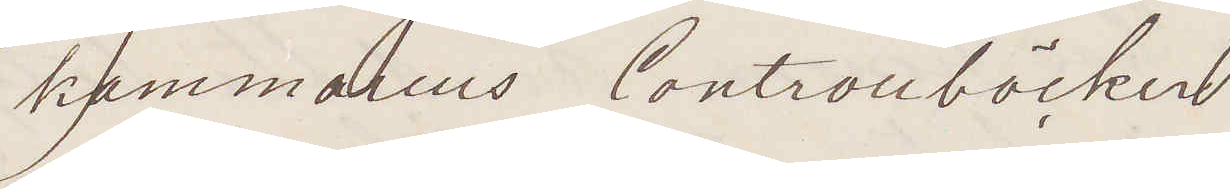kammarens Controllböcker
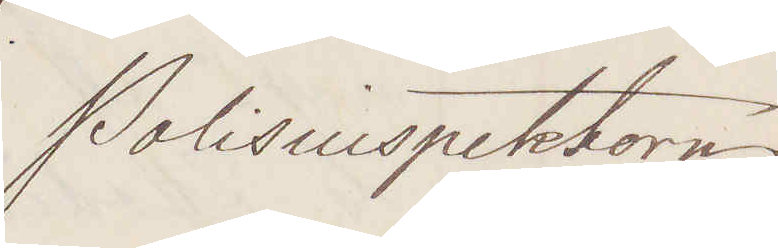Polisinspektorn
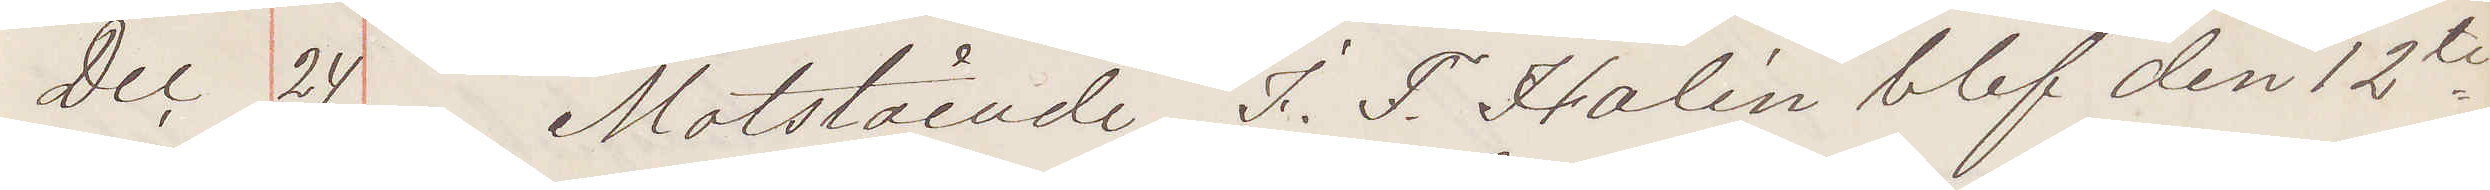Dec 24. Motstående I. F. Halén blef den 12te
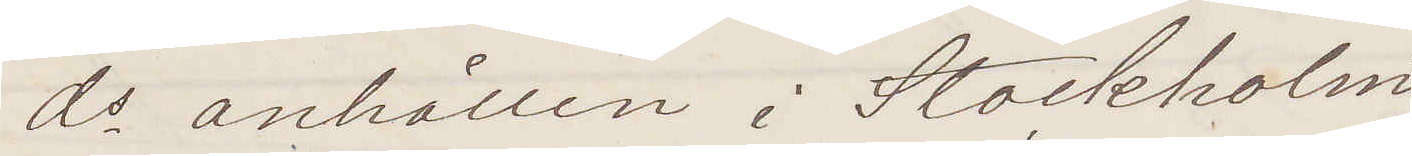ds anhållen i Stockholm
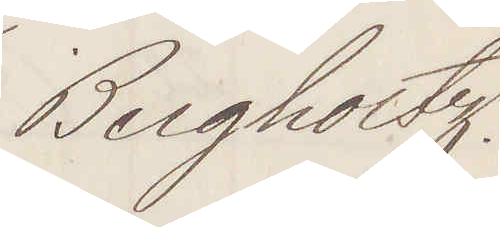Bergholtz
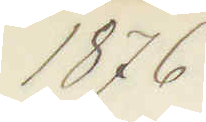1876
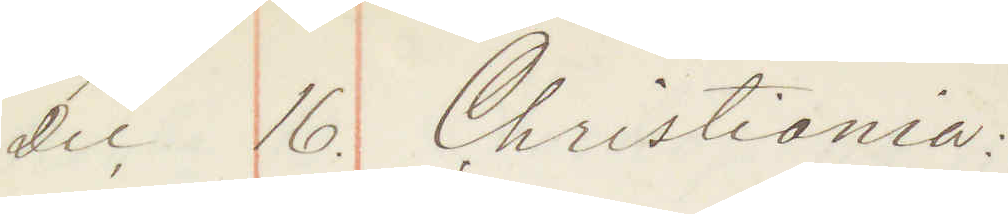Dec 16. Christiania:
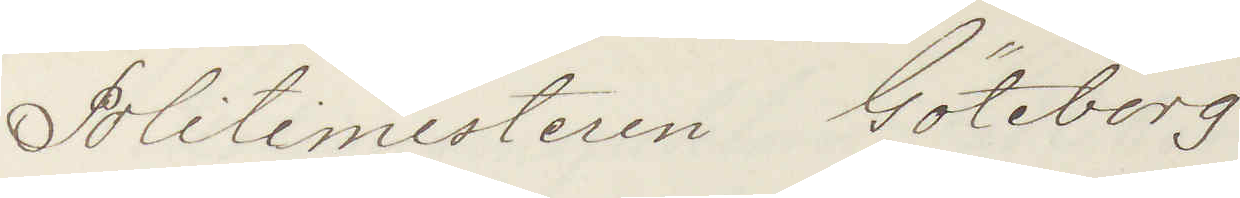Politimesteren Göteborg
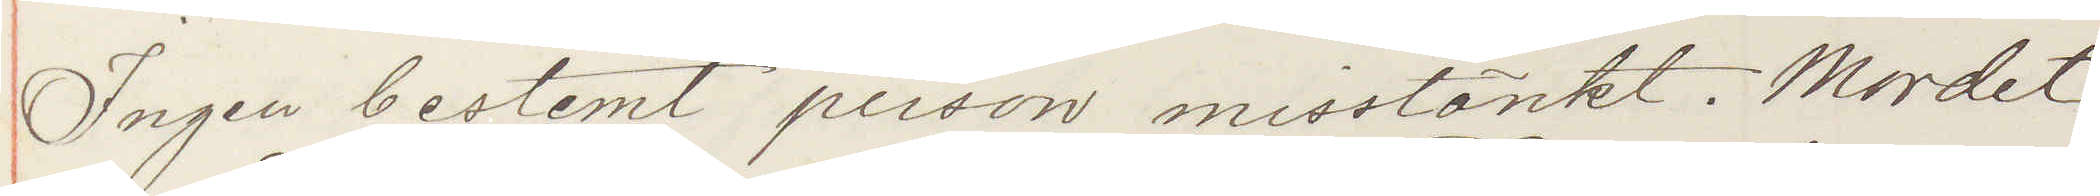Ingen bestemt person misstänkt. Mordet
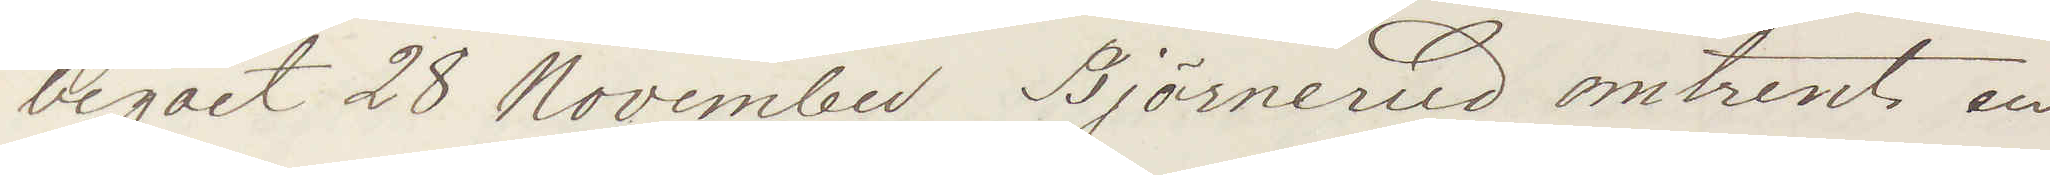begået 28 November Björnerud omtrent en
